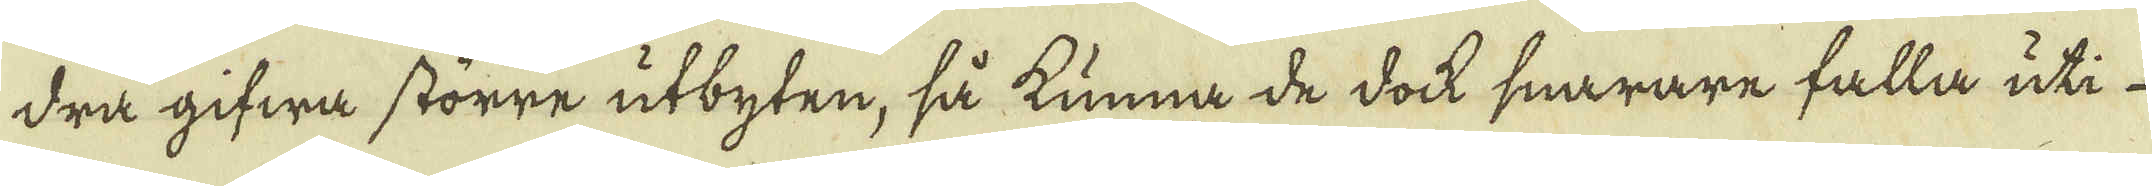dra gifwa större utbyten, så kunna de dock snarare falla uti
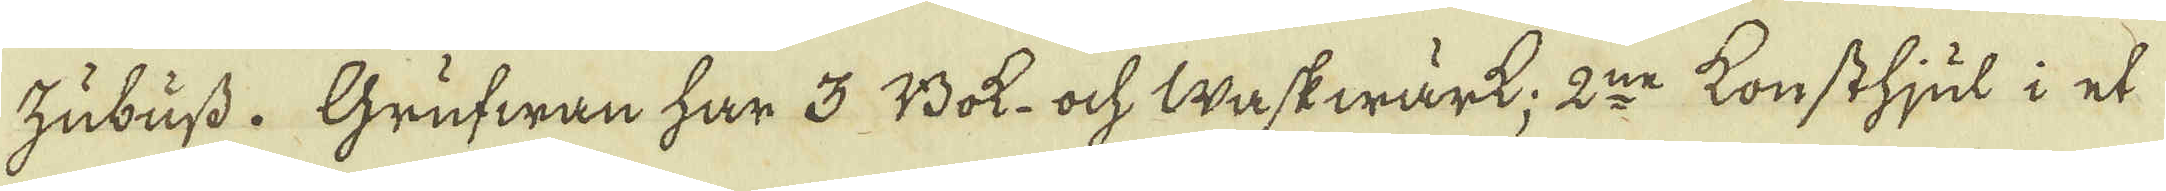Zubuss. Grufwan har 3 Bok- och Waskwärk; 2:ne konsthjul i et
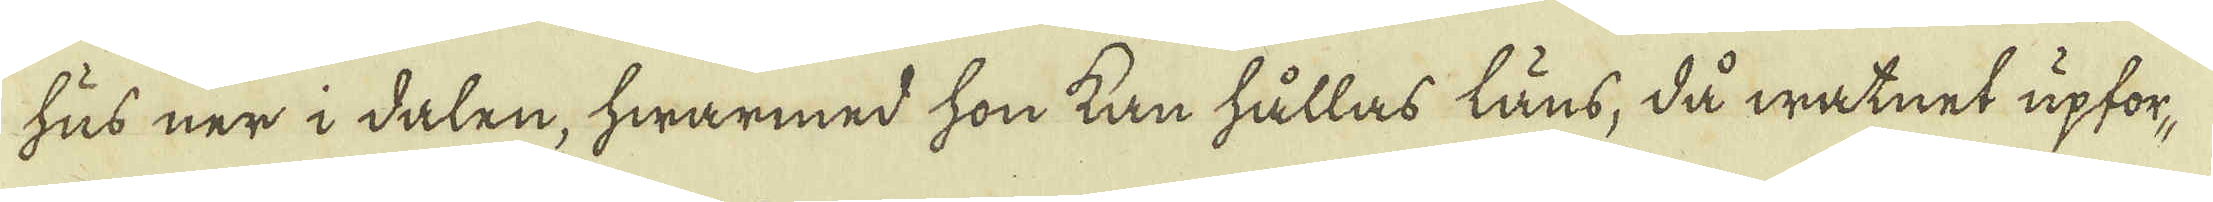hus ner i dalen, hwarmed hon kan hållas läns, då watnet upfor-
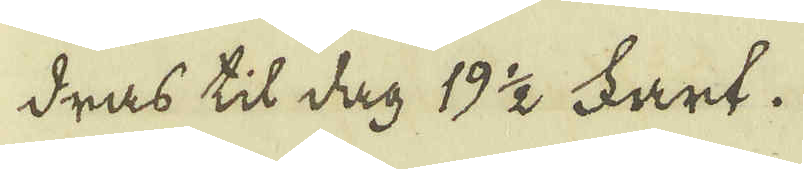dras til dag 19 1/2 Fart.
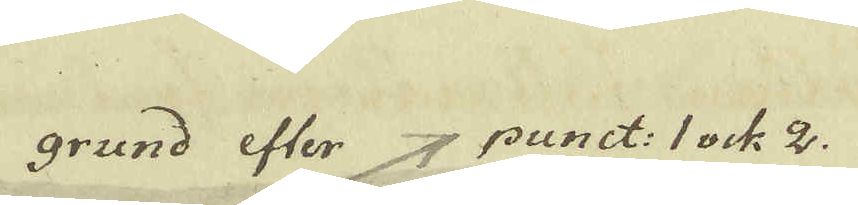grand efter 4 punct: 1 ock 2.
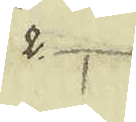2.
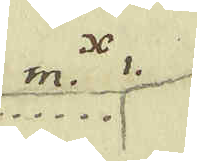m. x 1.
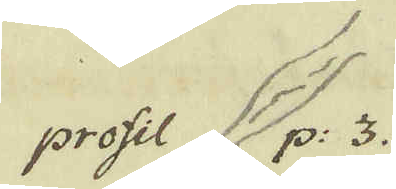profl p: 3.
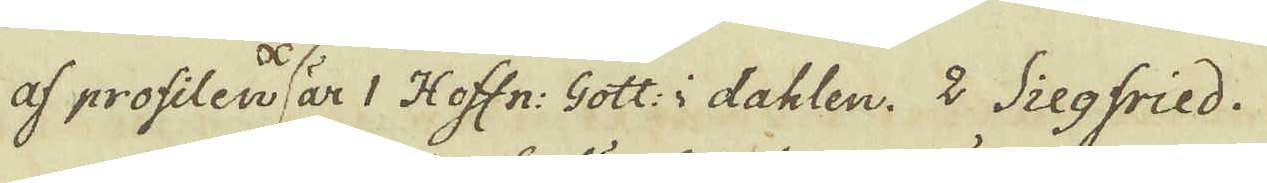af profilen är 1 Hoffn: Gott: i dahlen. 2 Siegfried.
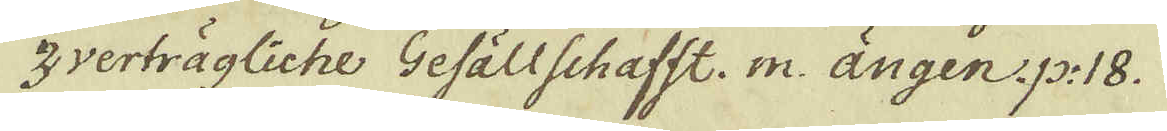3 verträgliche Gefällschafft. m. ängen. p: 18.
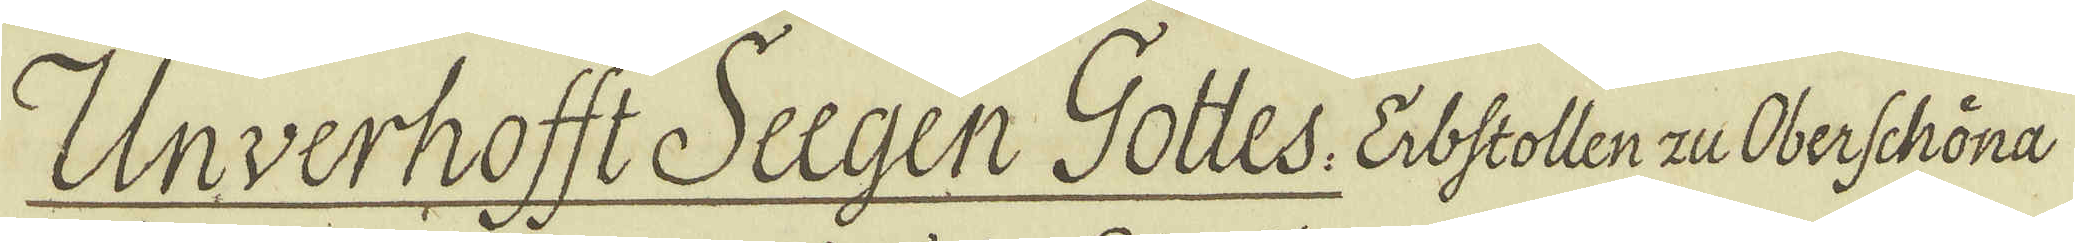Unverhofft Seegen Gottes: Eibstollen zu Oberschöna
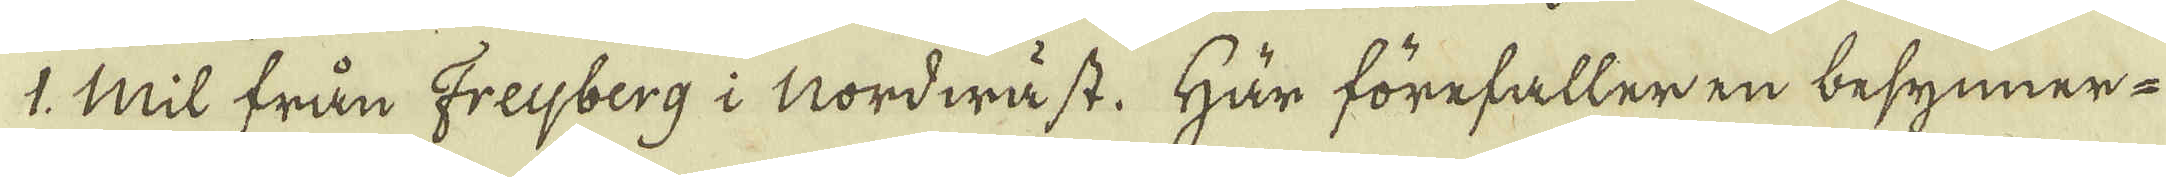1. Mil från Freijberg i Nordwäst. Här förefaller en besynner-
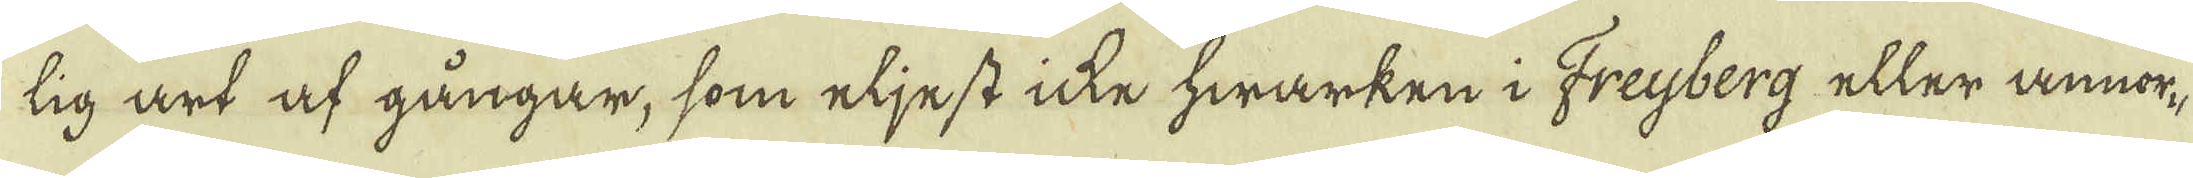lig art af gångar, som eljest icke hwarken i Freijberg eller annor-
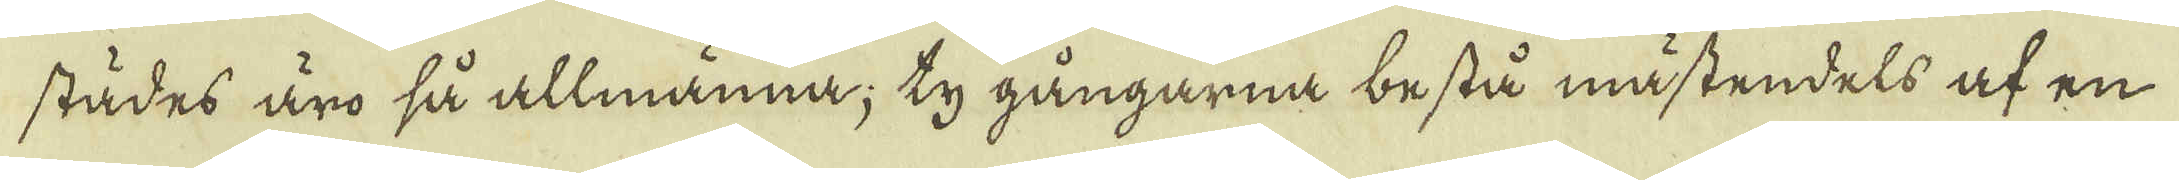städes äro så allmänna; ty gångarna bestå mästendels af en
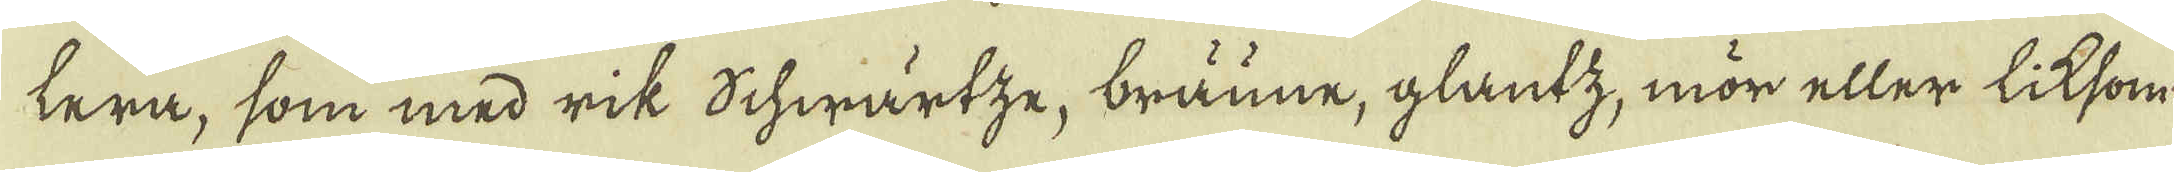lera, som med rik Schwärtze, bräune, glantz, mör eller liksom
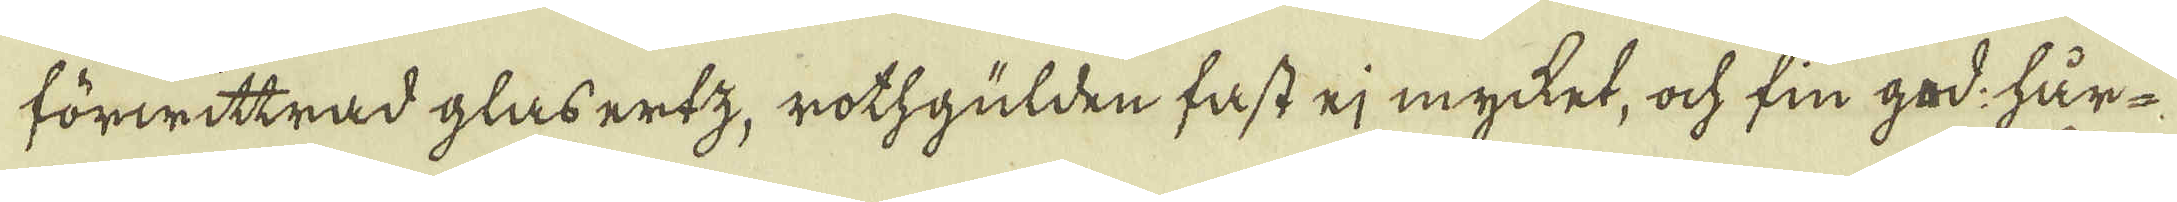förwittrad glasertz, rothgulden fast ej mycket, ock fin god: hår-
